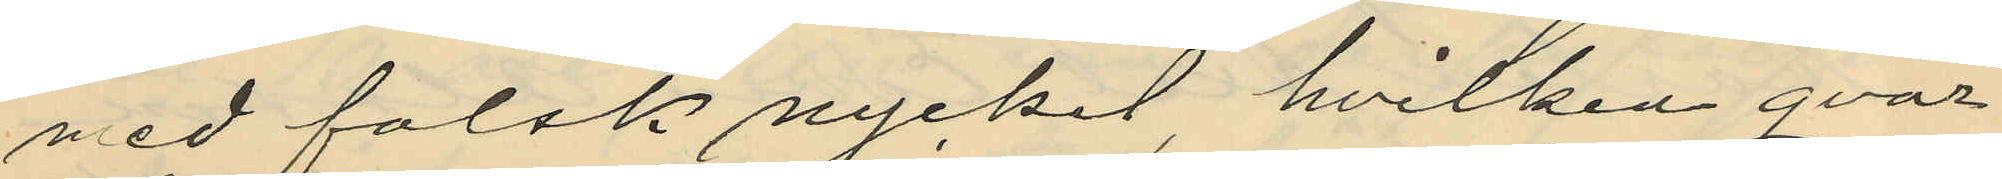med falsk nyckel, hvilken qvar¬
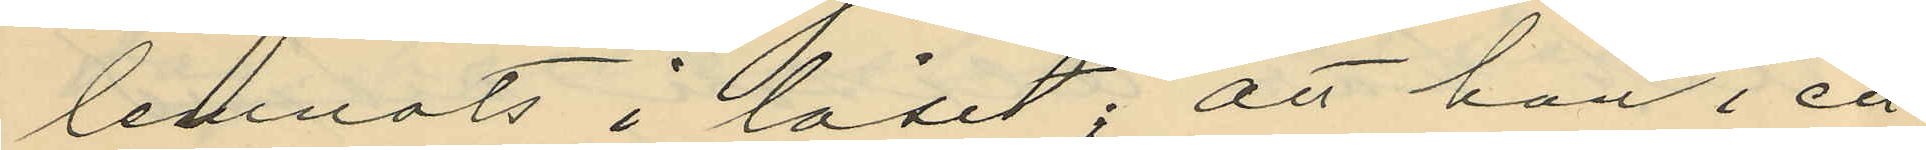lemnats i låset; att han i ett
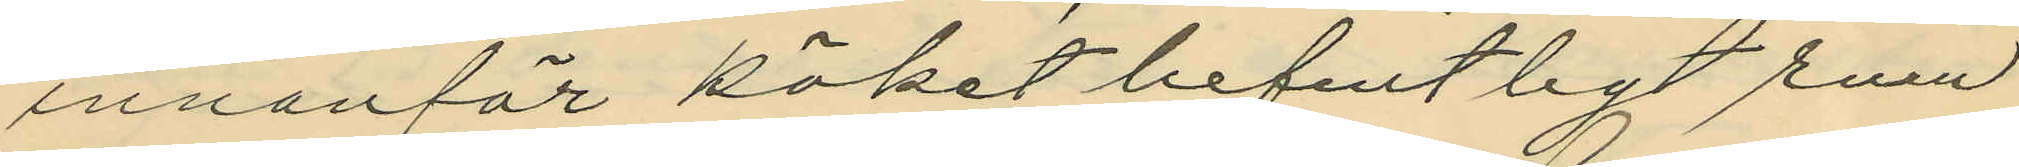innanför köket befintligt rum
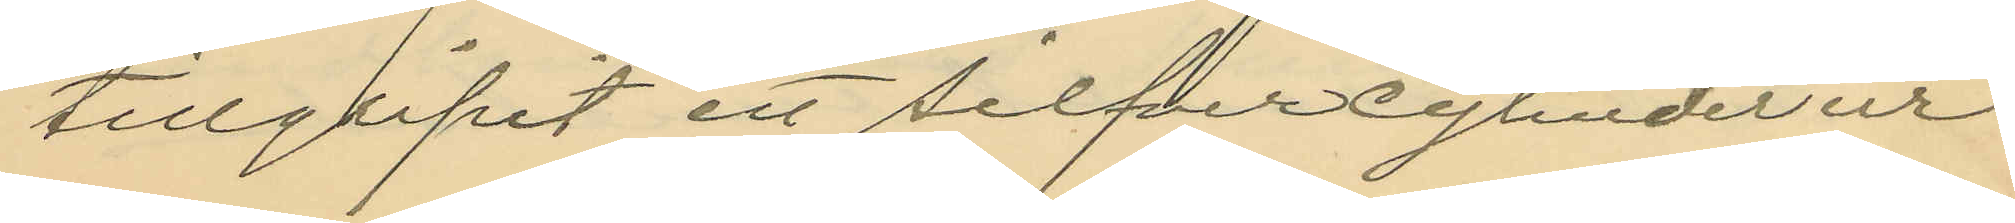tillgripit ett silfvercylinderur
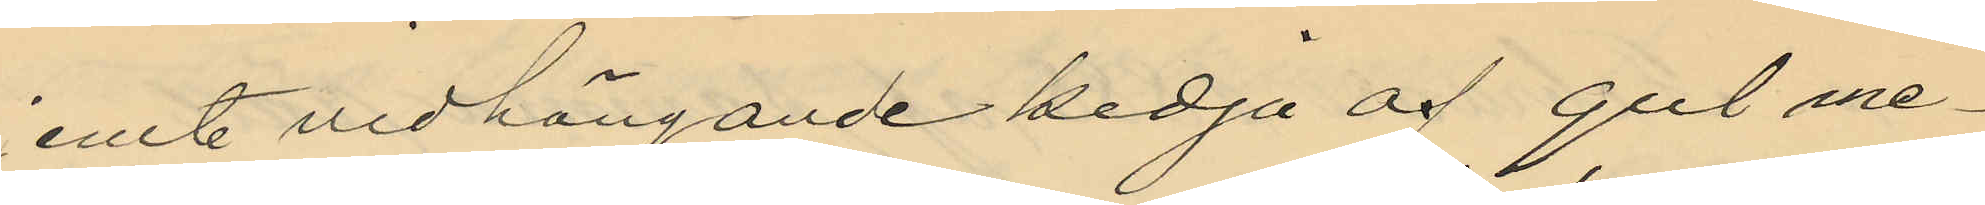jemte vidhängande kedja af gul me¬
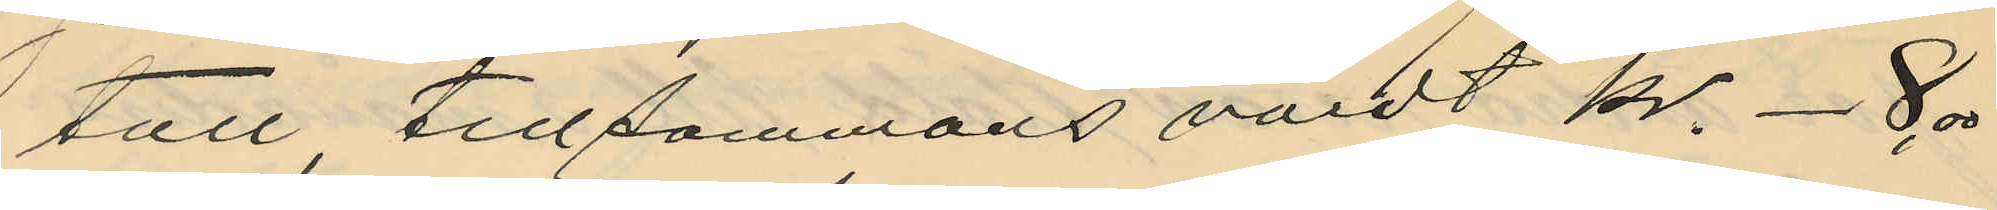tall, tillsammans värdt kr. -8,00
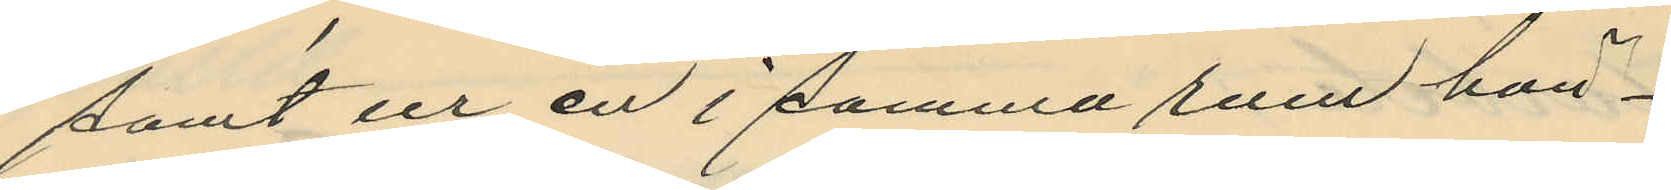samt ur en i samma rum hän¬
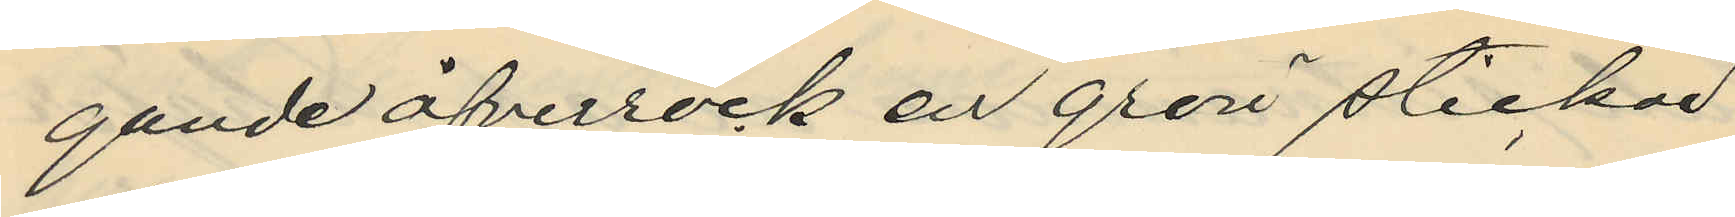gande öfverrock en grön stickad
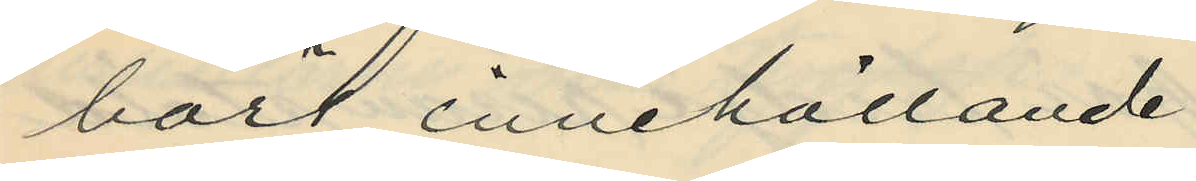börs, innehållande
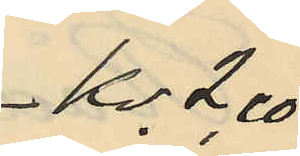Kr 2,00
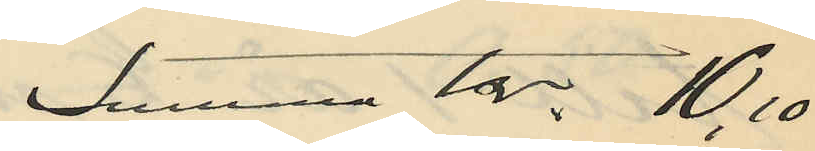summa Kr. 10,10
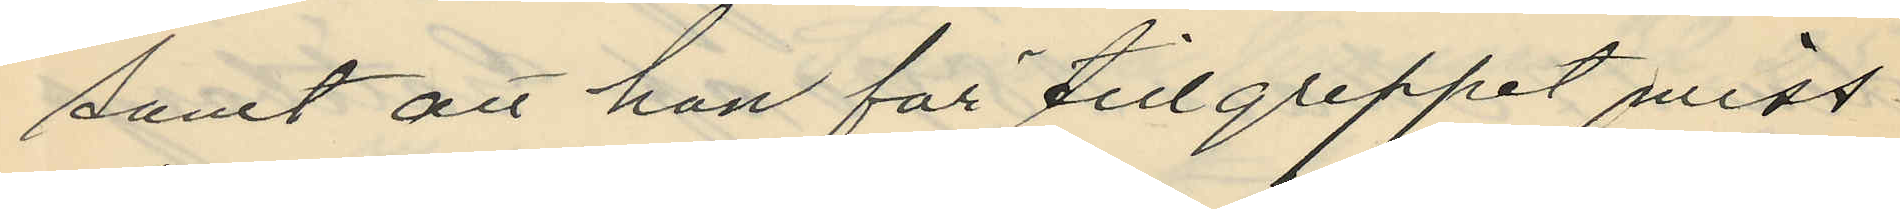samt att han för tillgreppet miss¬
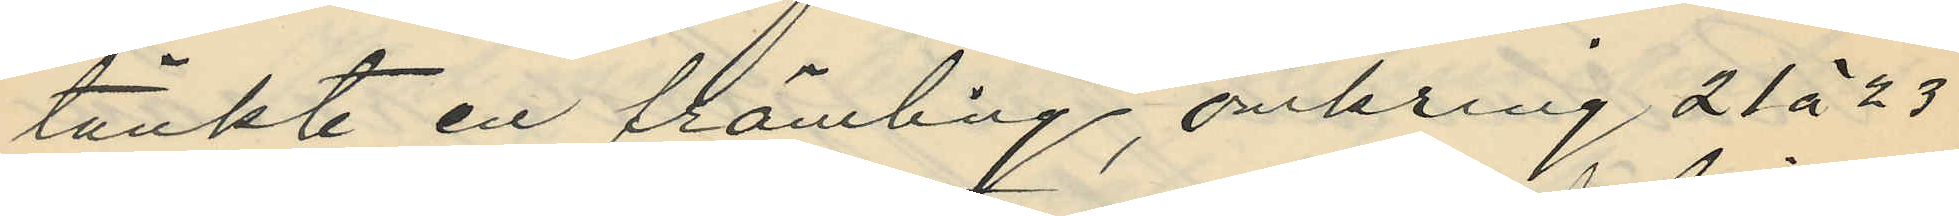tänkte en främling, omkring 21 à 23
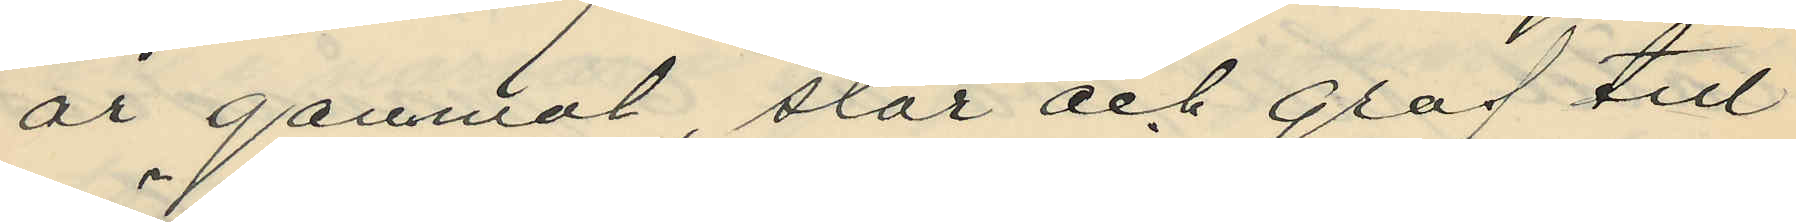år gammal, stor och grof till
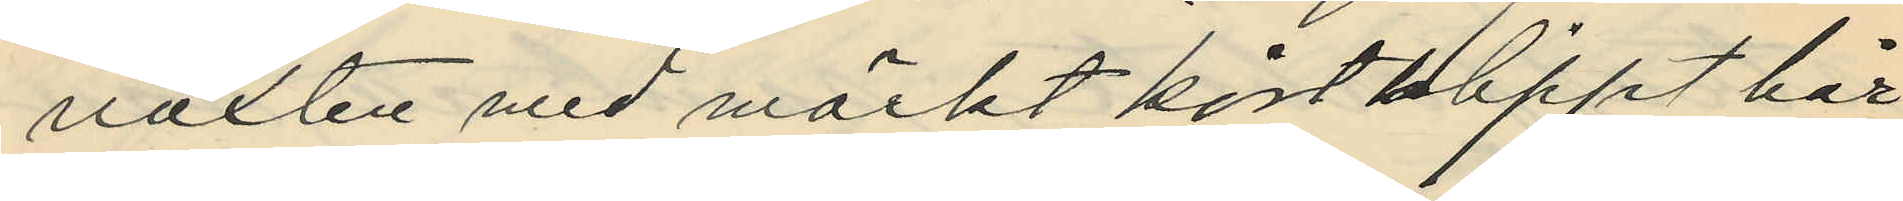växten med mörkt kortklippt hår,
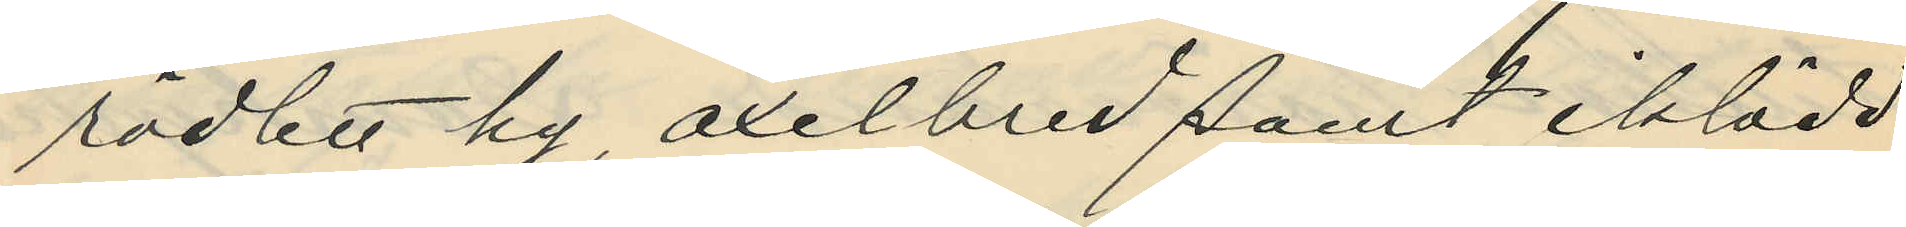rödlett hy, axelbred samt iklädd
